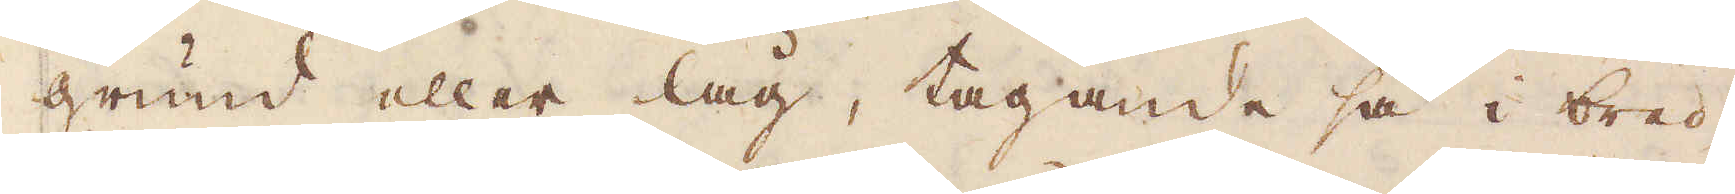grund eller låg, tagande så i bred-
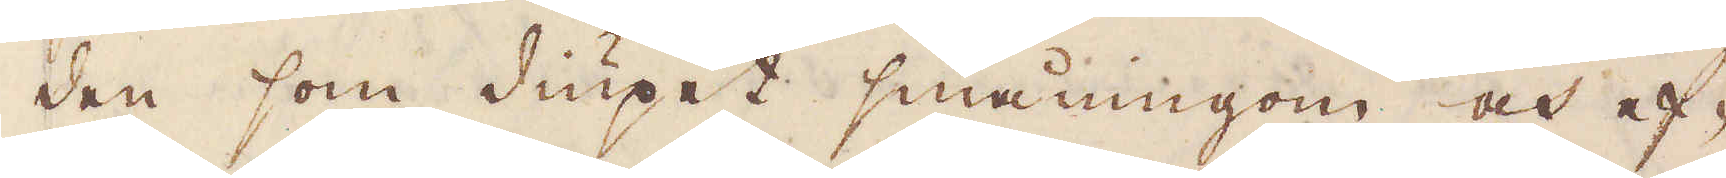den som diupet småningom och ef-
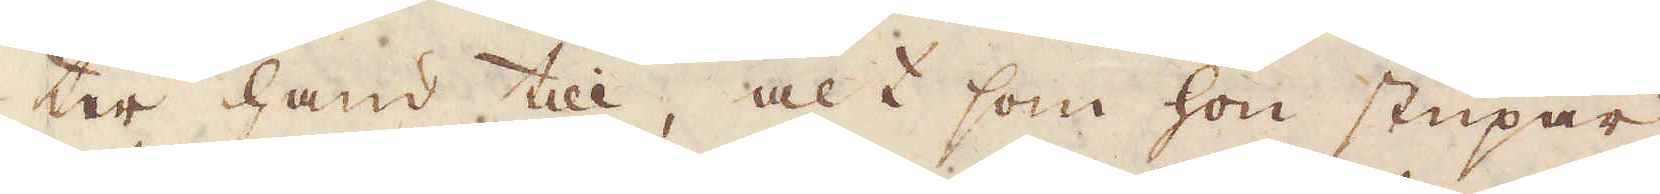ter hand till, alt som hon stupar
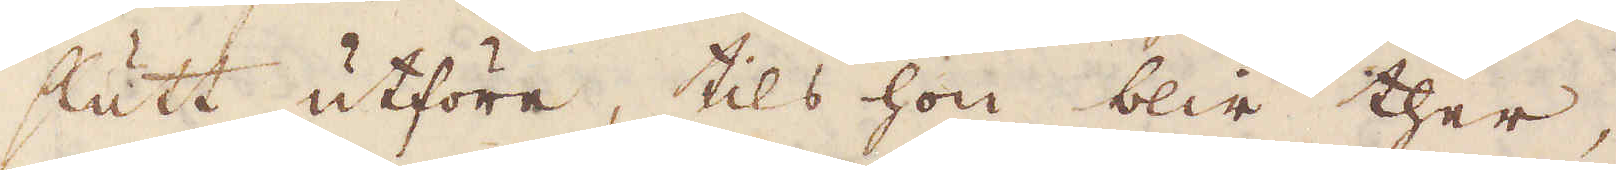slutt utföre, tils hon blir ther,
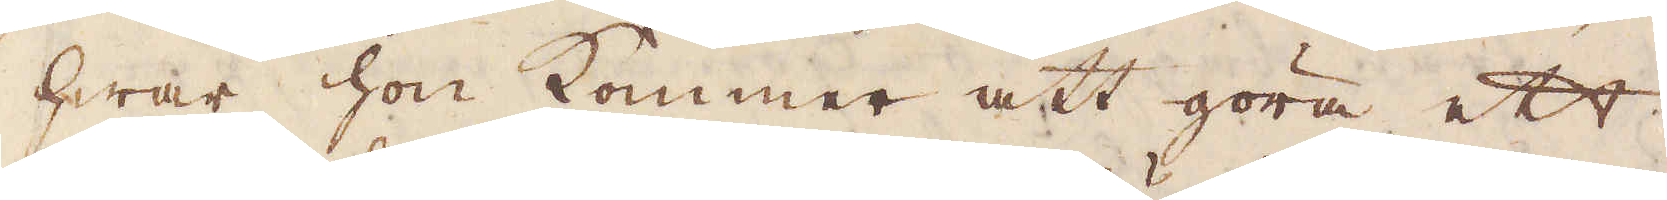hwar hon kommer att göra ett
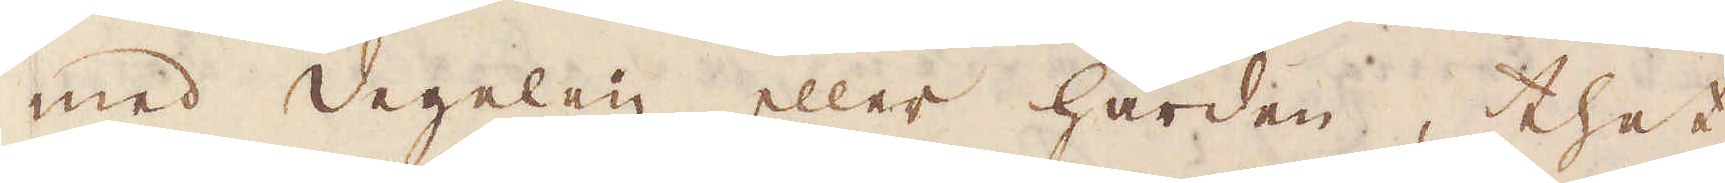med degelen eller härden, thet
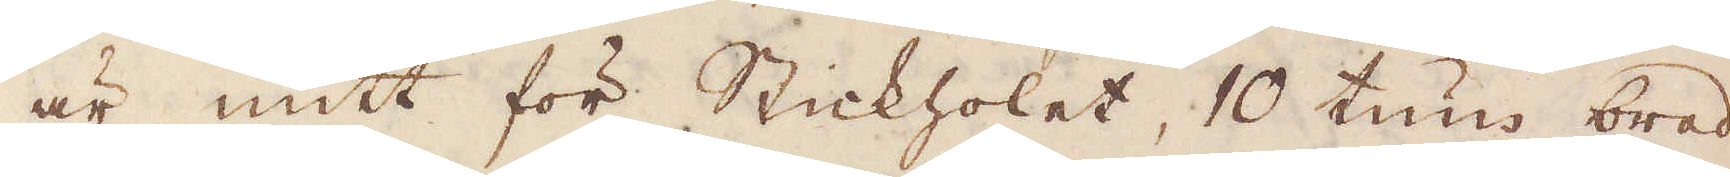är mitt för Stickholet, 10 tum bred,
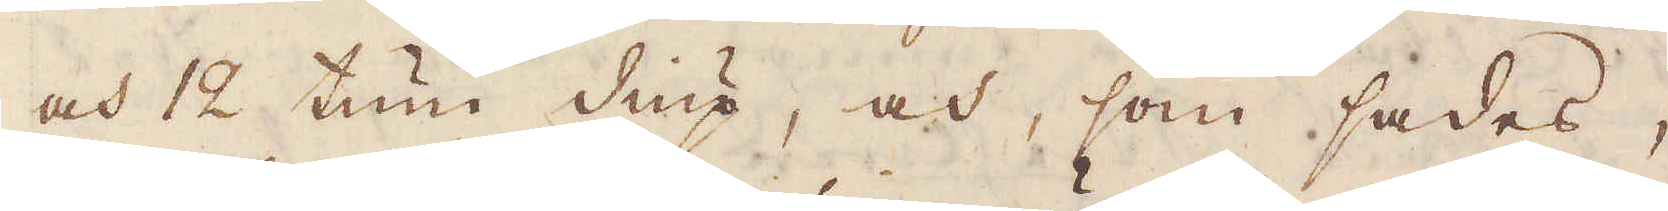och 12 tum diup, och, som sades,
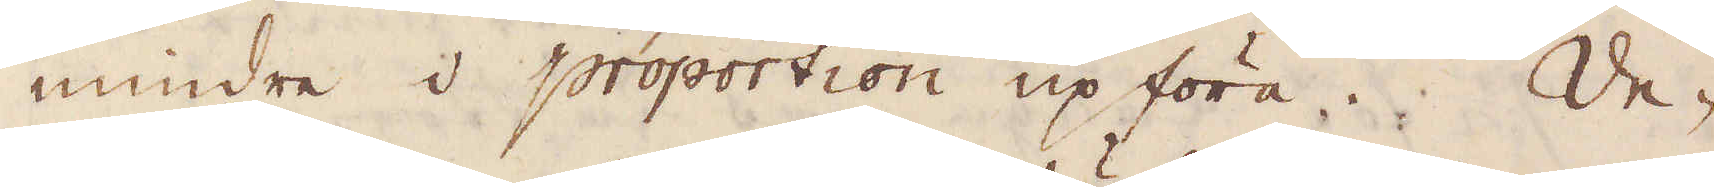mindre i proportion upförra. De-
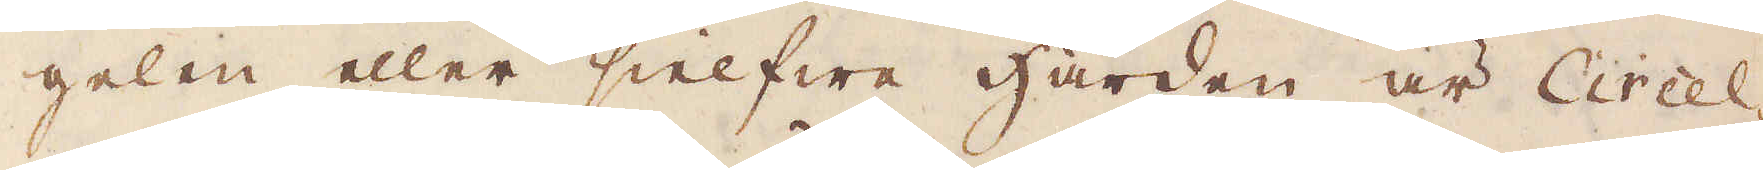gelen eller sielfwa härden är Circel-
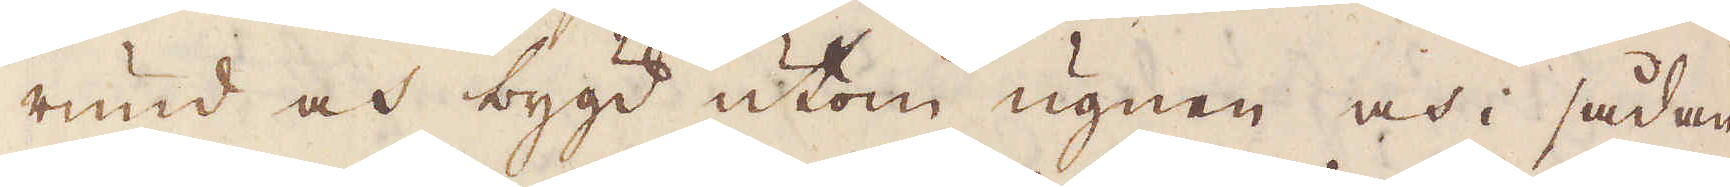rund och bygd utom ugnen och i sådan
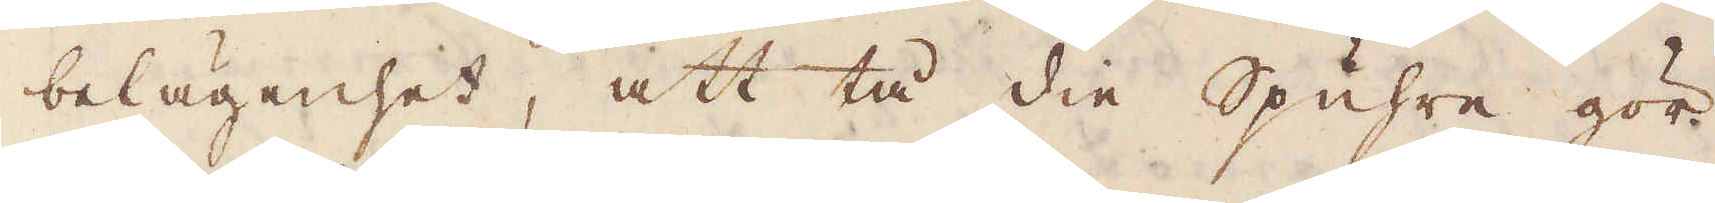belägenhet, att tå die Spuhre gör
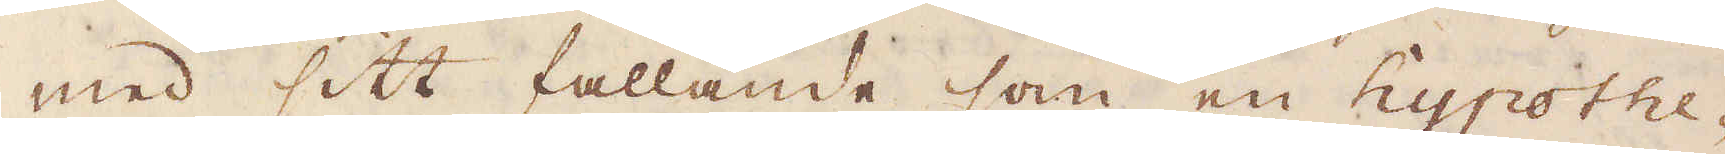med sitt fallande som en hypothe-
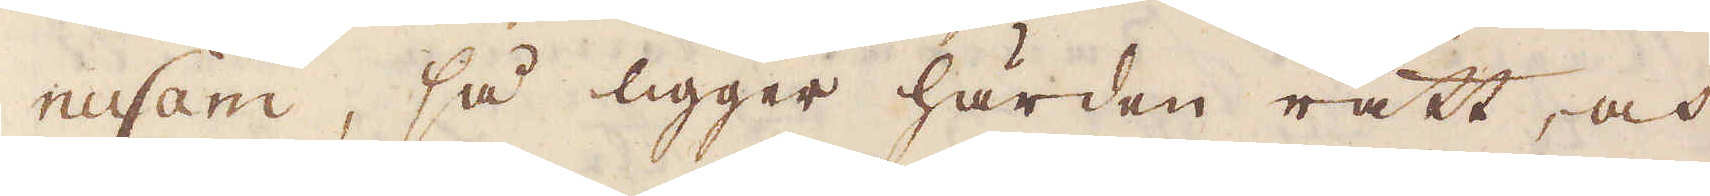nusam, så ligger härden rätt, och
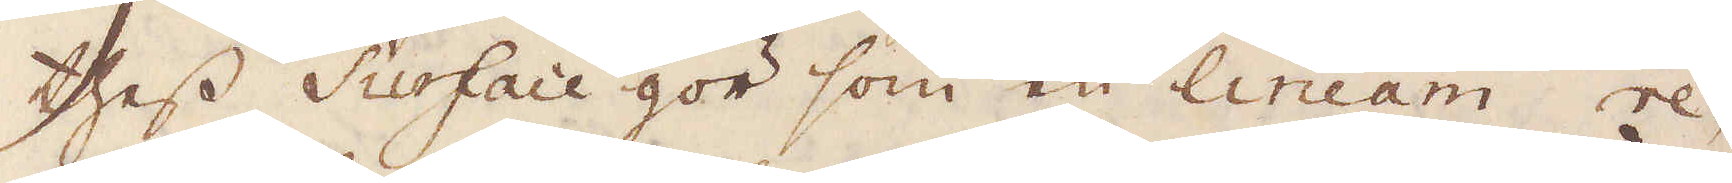thess Surface gör som en lineam re-
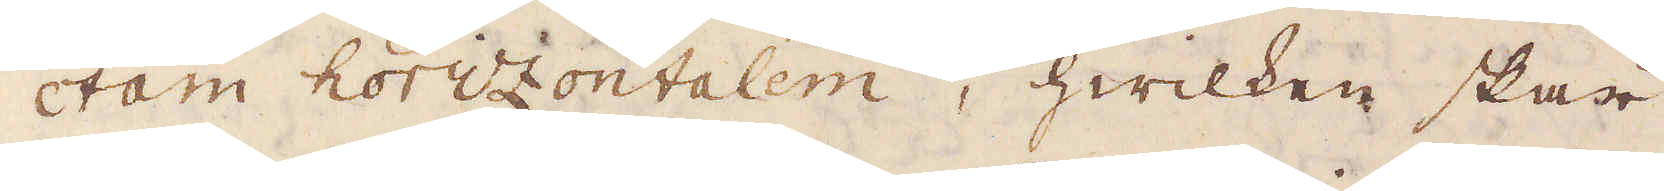ctam horizontalem, hwilken skär
